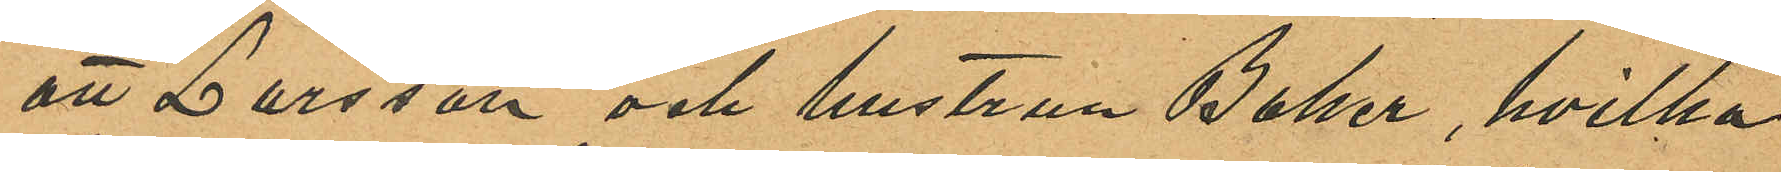att Larsson och hustrun Baker, hvilka
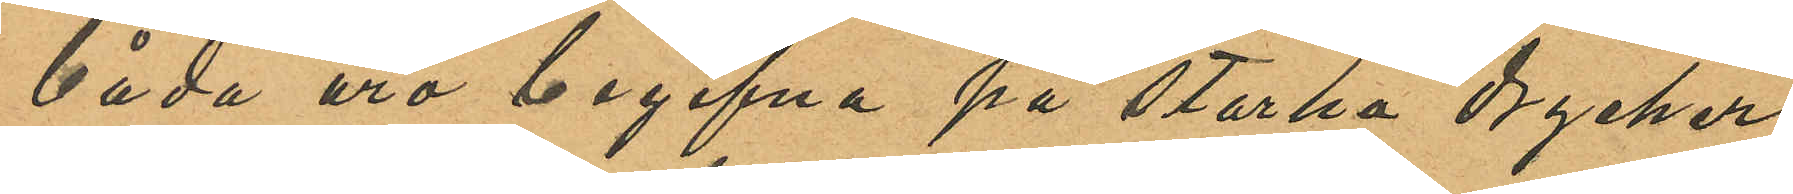båda äro begifna på starka drycker
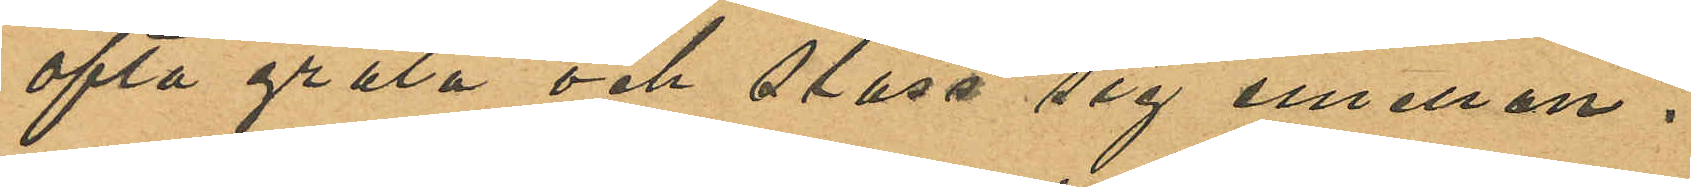ofta gräla och slåss sig emellan.
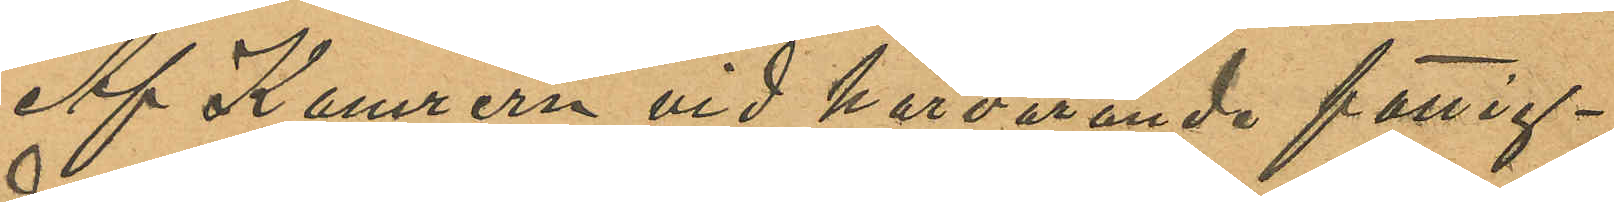Af Kamrern vid härvarande fattig¬
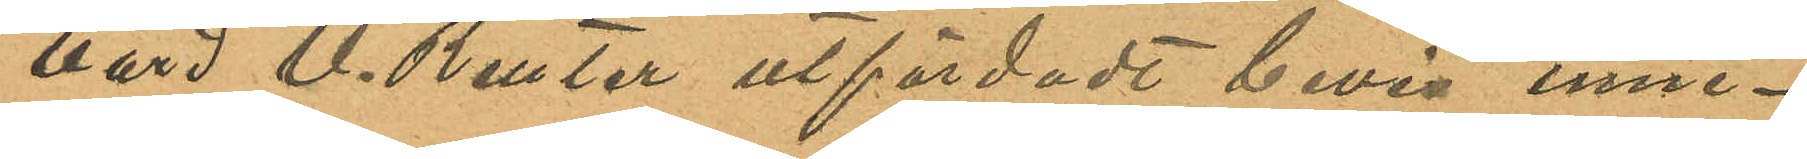vård U. Reuter utfärdadt bevis inne¬
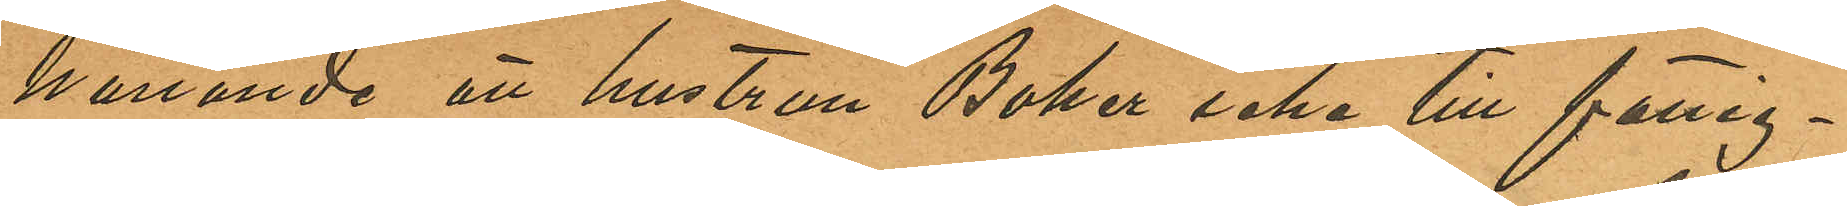hållande att hustrun Baker icke till fattig¬
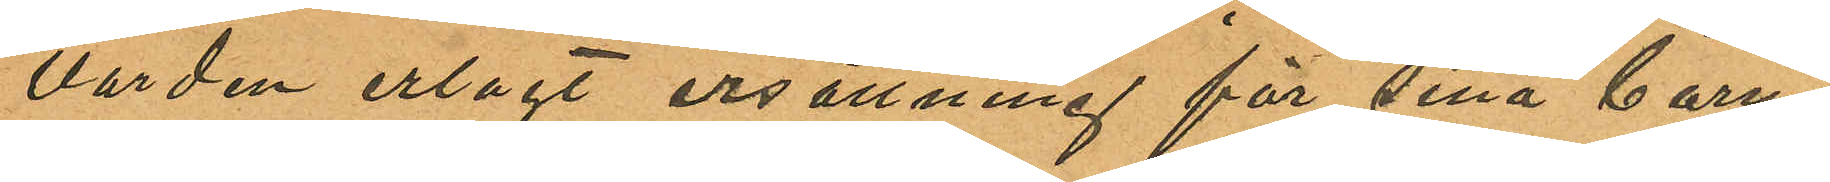vården erlagt ersättning för sina barns
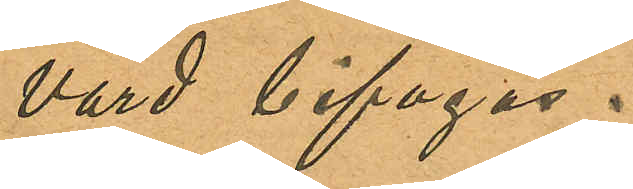vård bifogas.
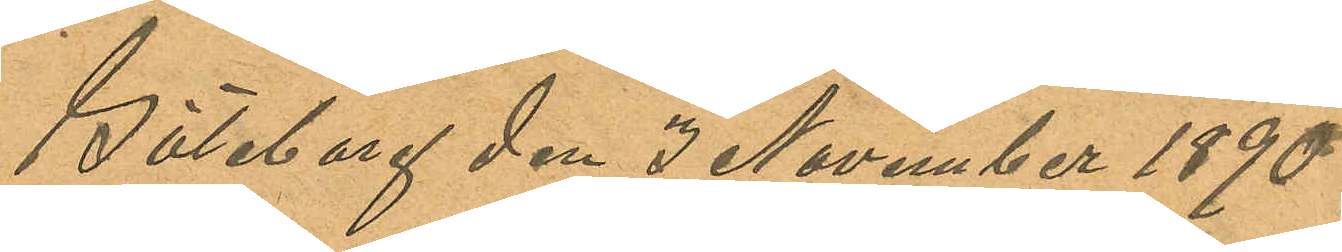Göteborg den 3 November 1890
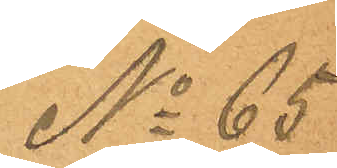No 65
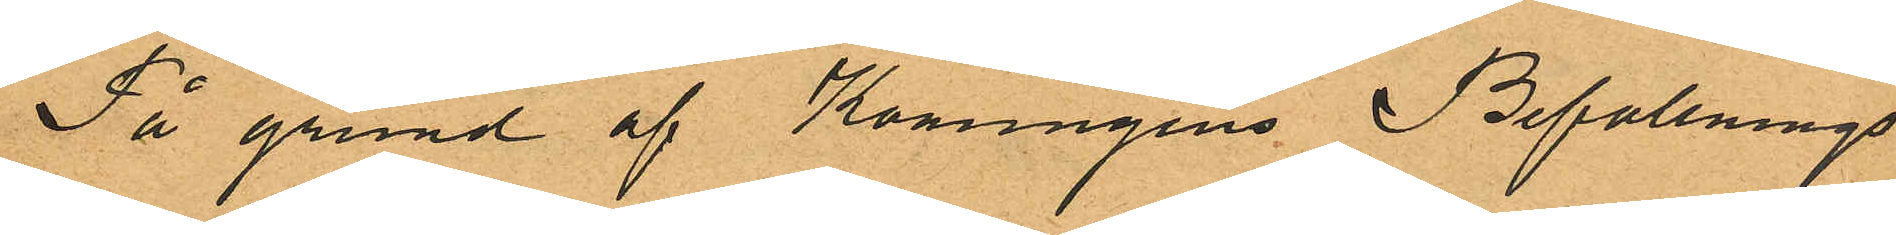På grund af Konungens Befallnings
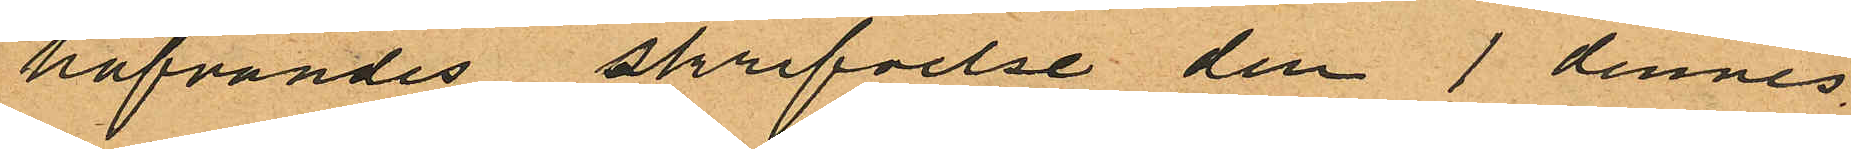hafvandes skrifvelse den 1 dennes
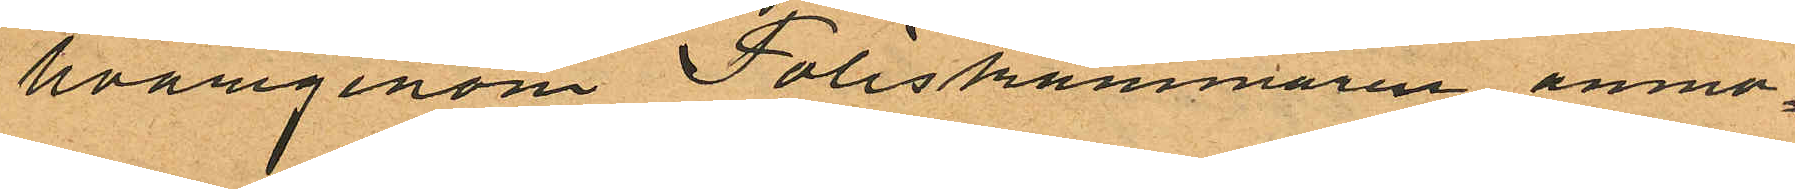hvarigenom Poliskammaren anmo¬
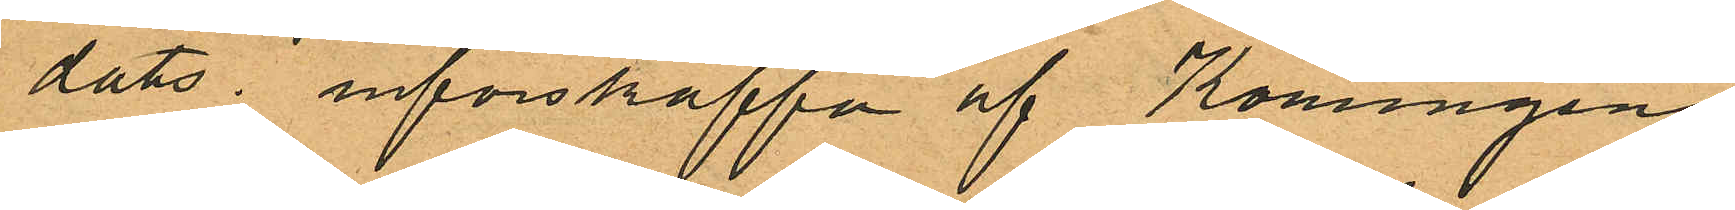dats införskaffa af Konungens
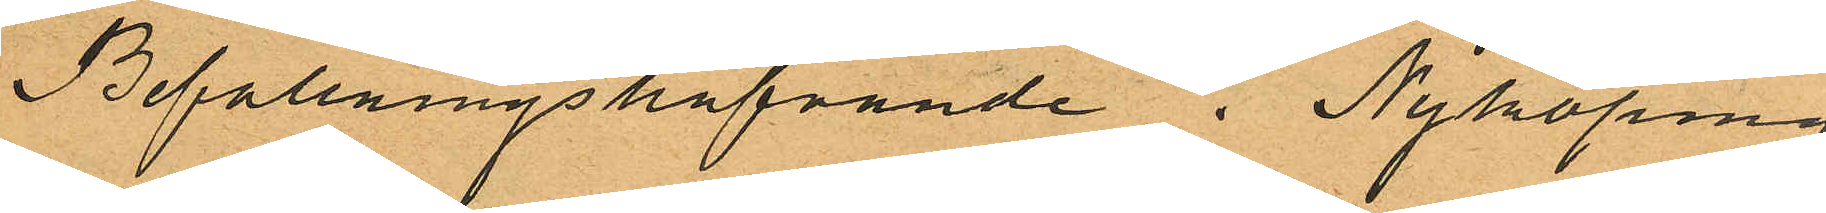Befallningshafvande i Nyköping
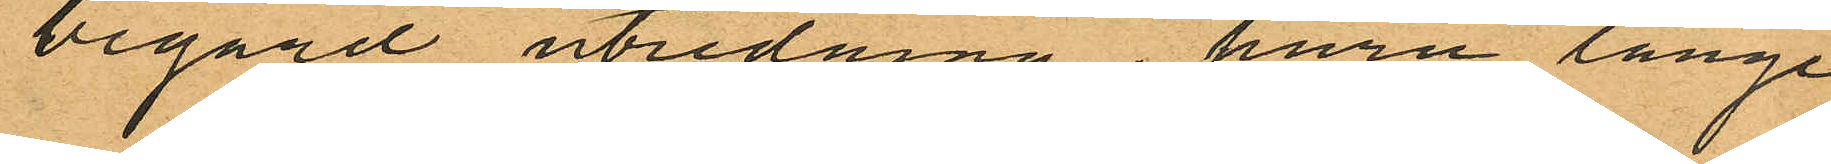begärd utredning, huru länge
